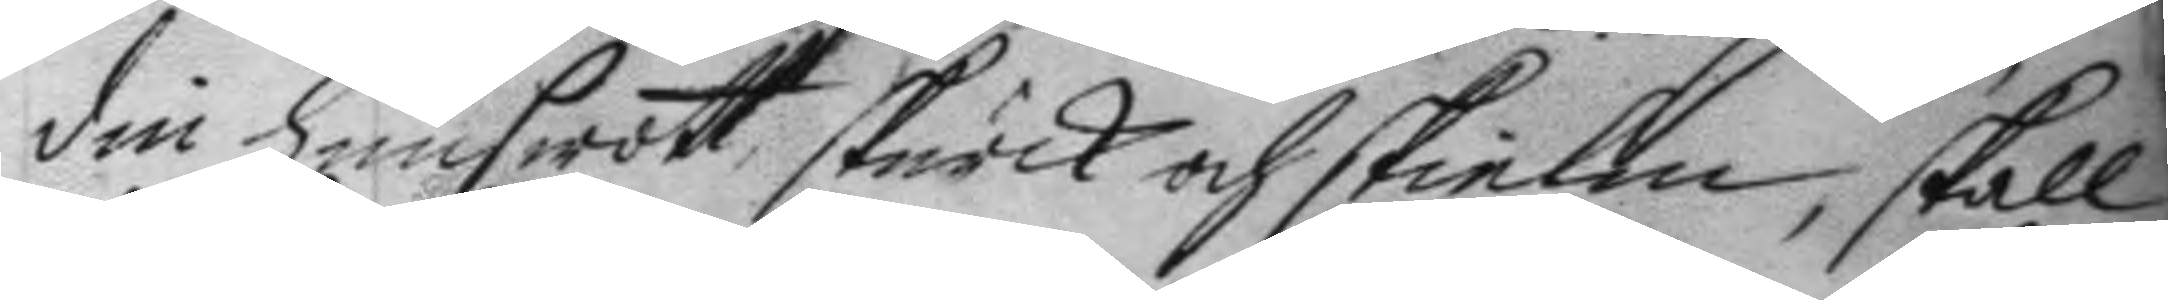din hundswott, skurck och skielm, skall
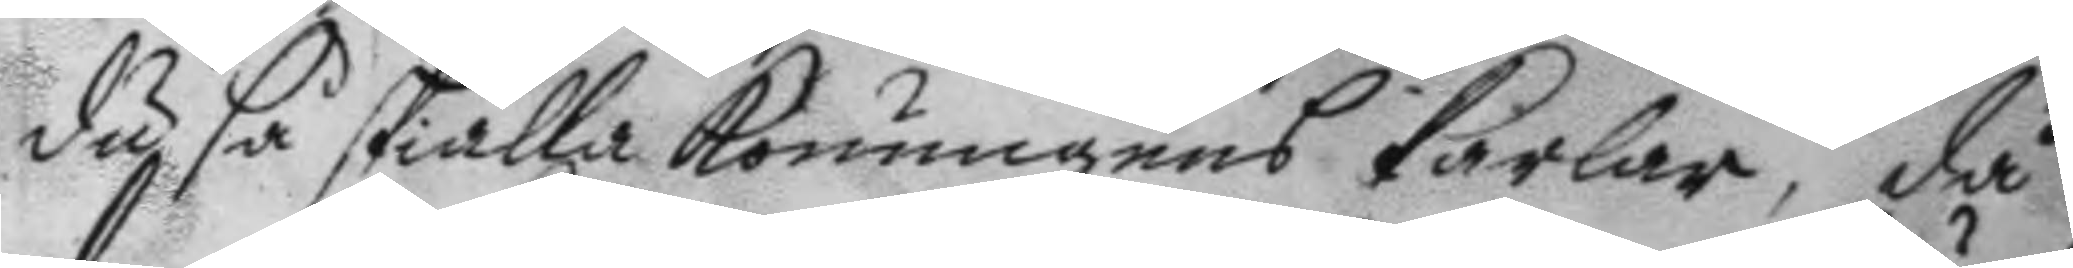du så skiälla konungens karlar, då
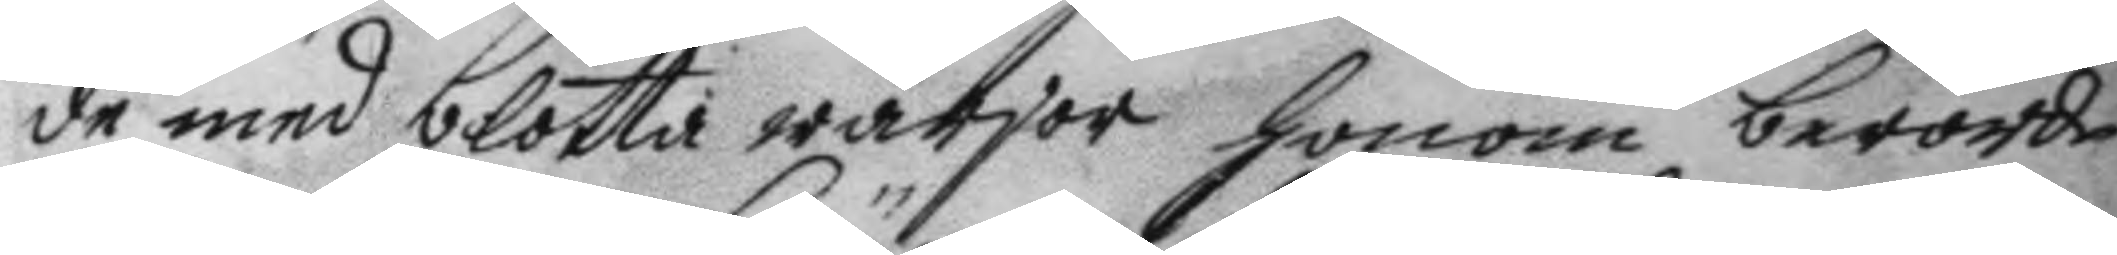de med blotta wärjor honom berörde
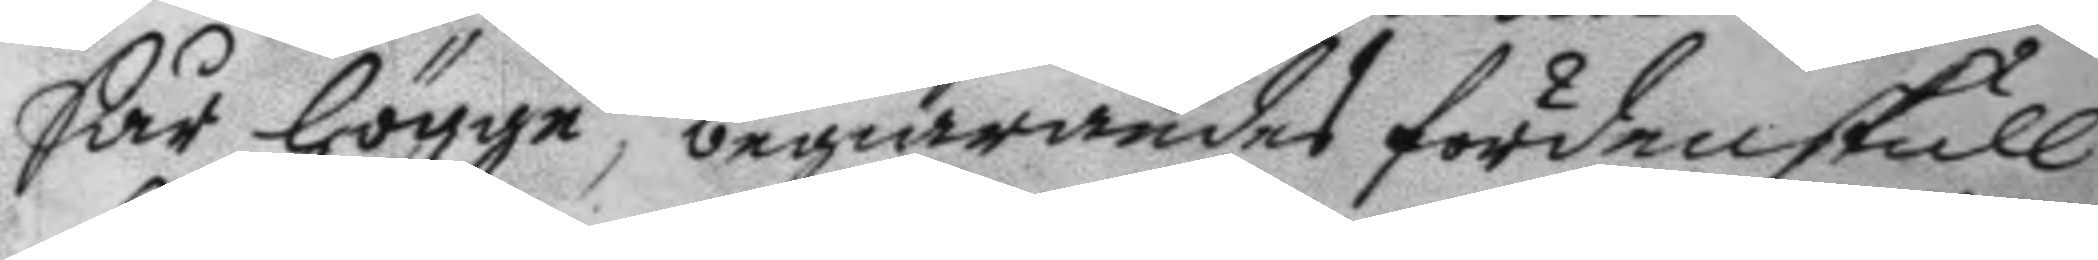Sår högge; begiärandes fördenskull
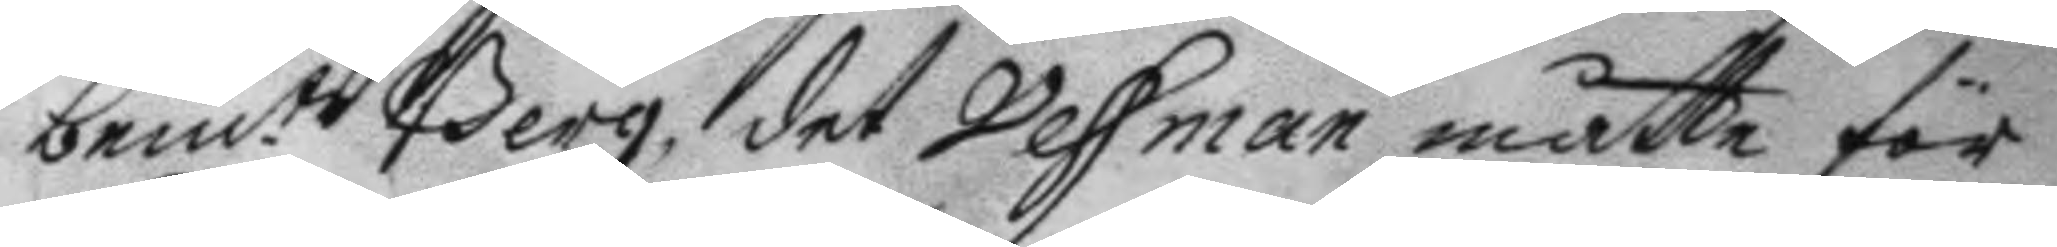bem:te Berg, det Vessman måtte för
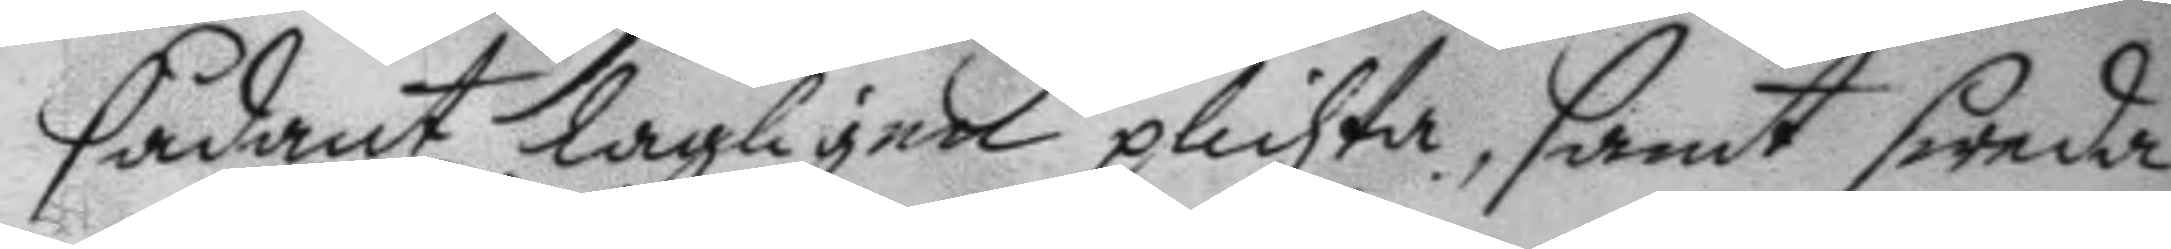sådant lagligen plichta, samt sweda
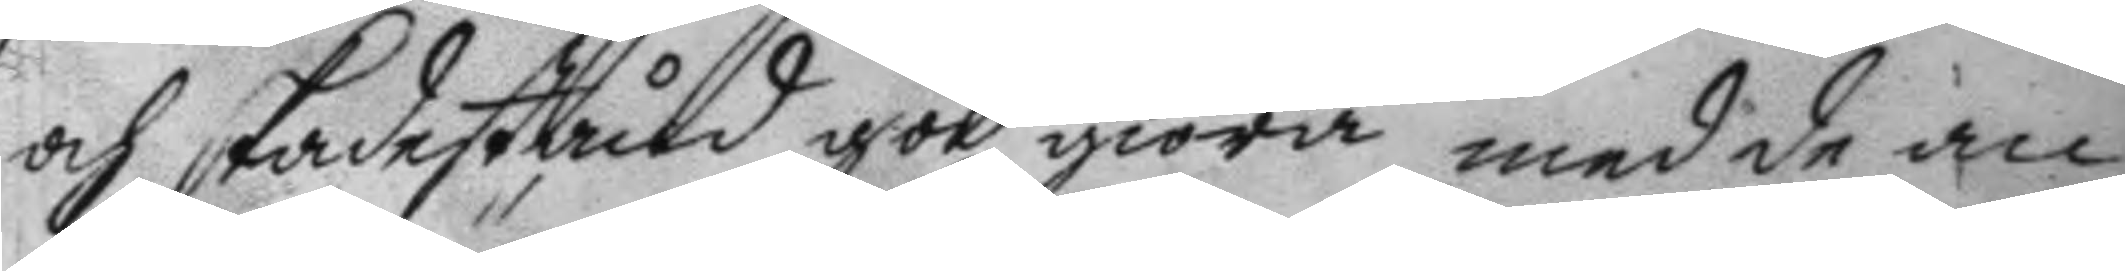och skadestånd god giöra med de an¬
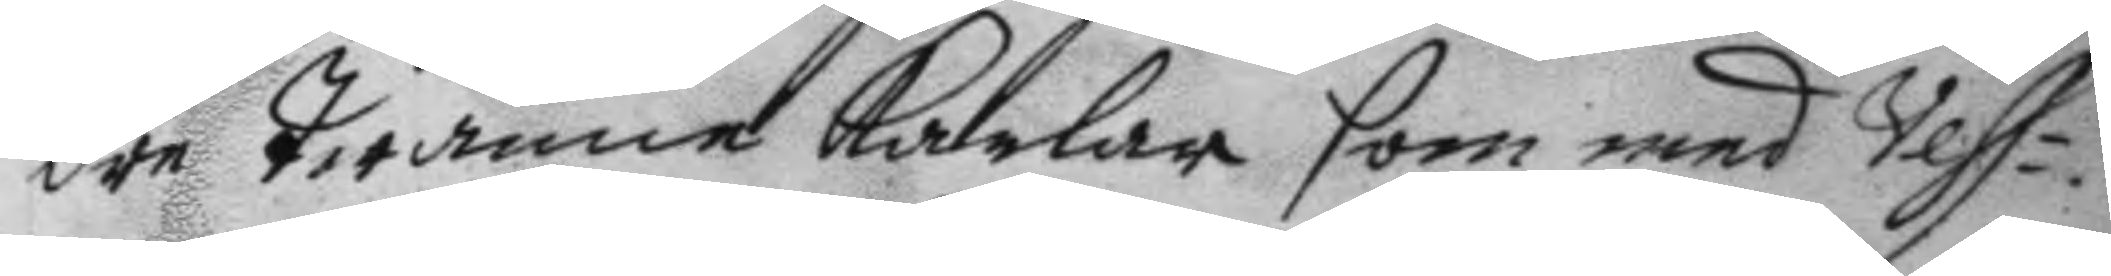dre twänne karlar som med Vess¬
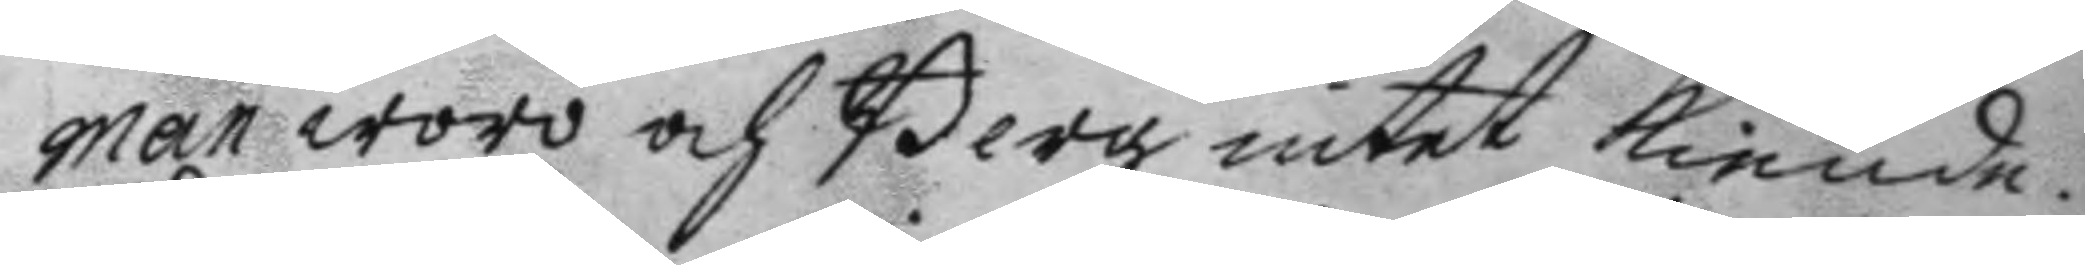man woro och Berg intet kiende.
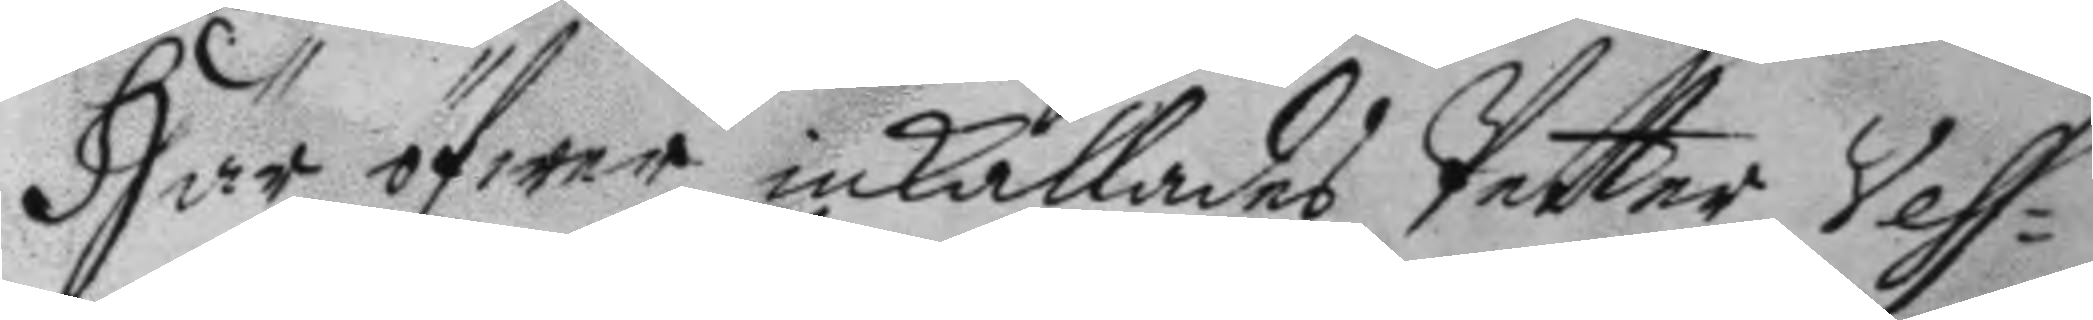Här öfwer inkallades Petter Vess¬
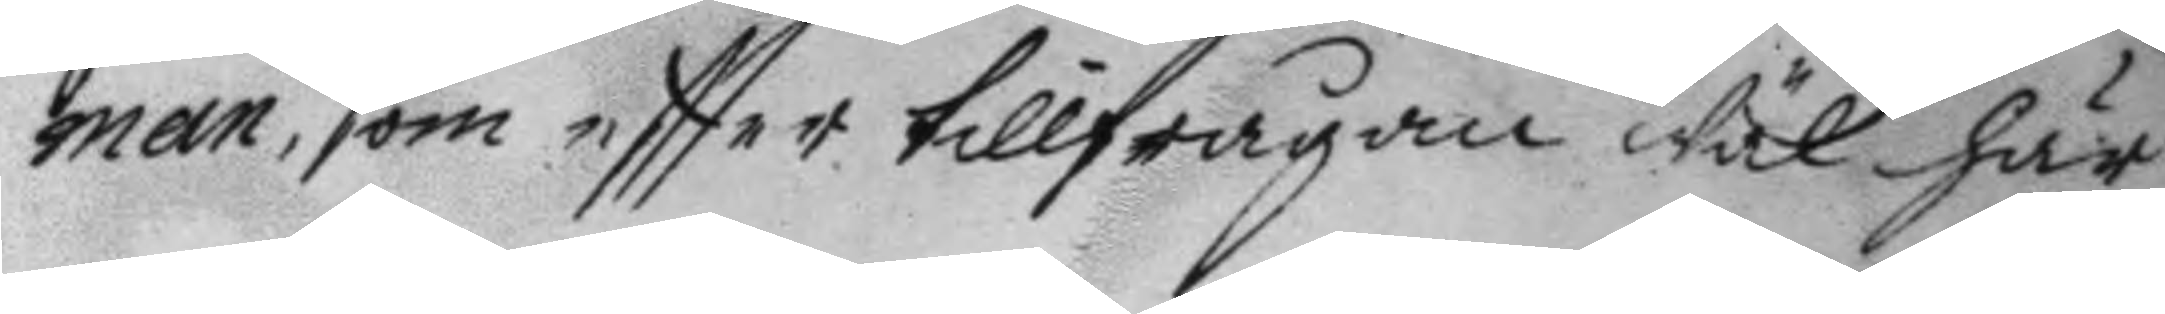man, som eftter tillfrågan wäl här
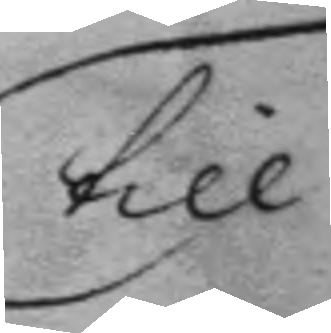till
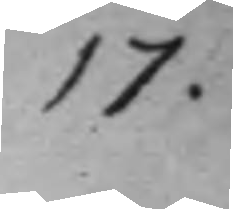17.
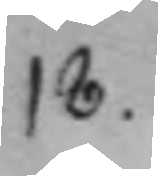18.
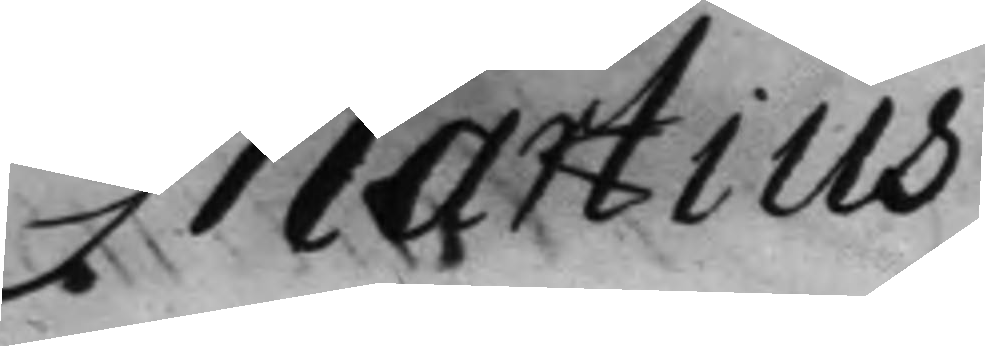Martius
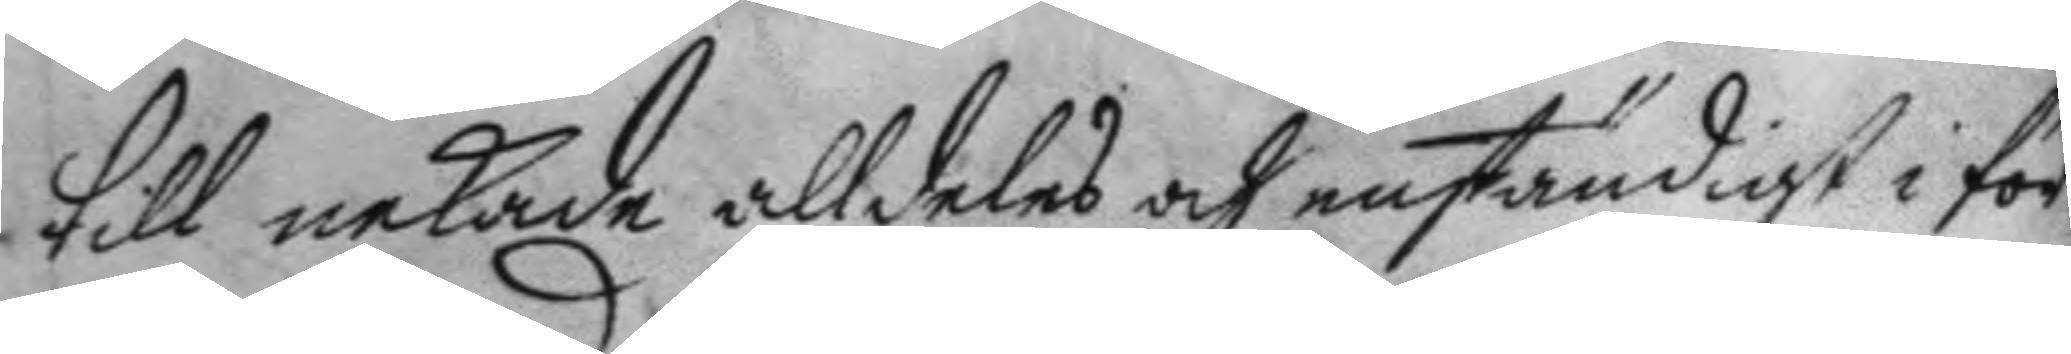till nekade alldeles och enständigt i för¬
